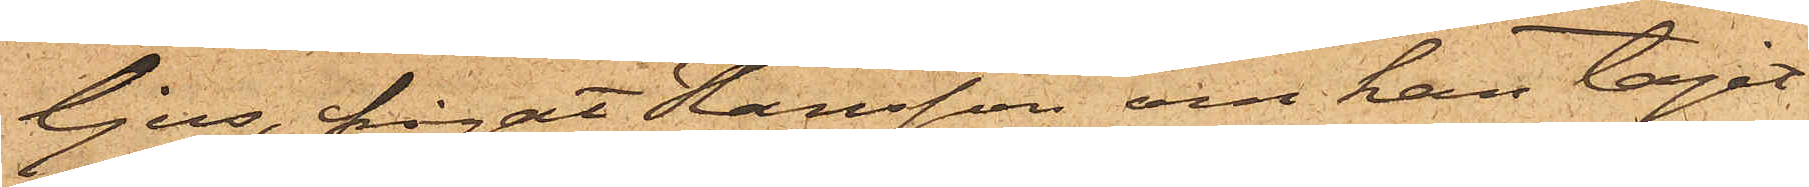ljus, frågat Hansson om han tagit
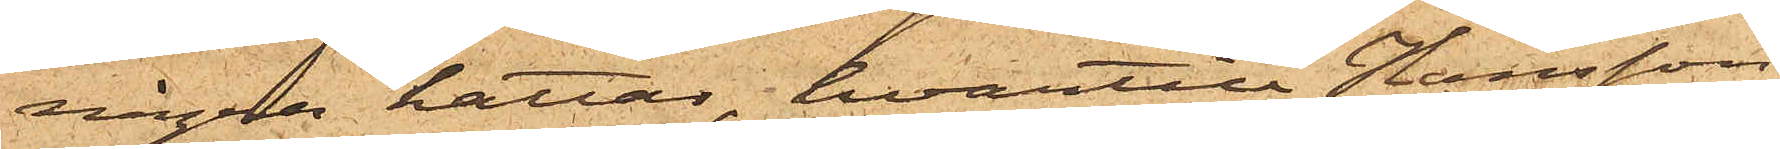några hattar, hvartill Hansson
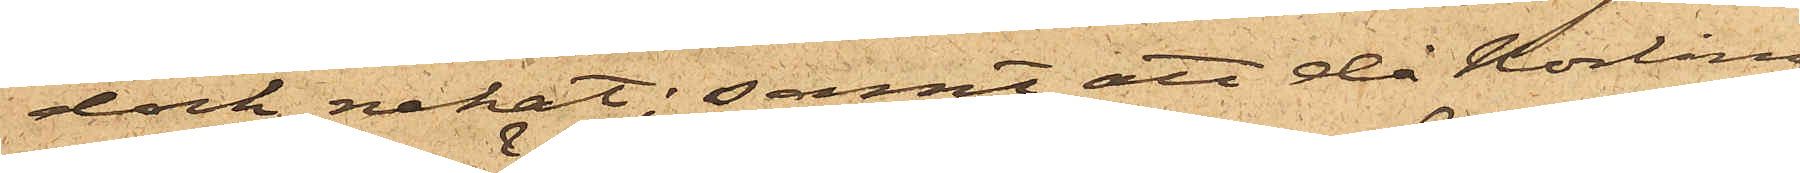dock nekat; samt att då Norling
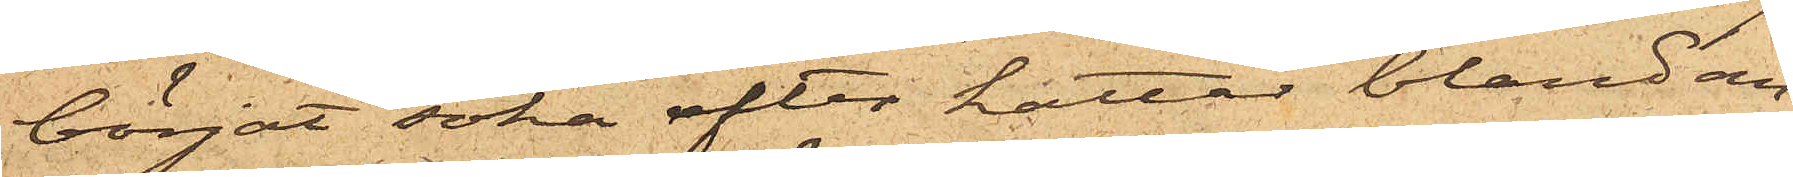börjat söka efter hattar, bland an¬
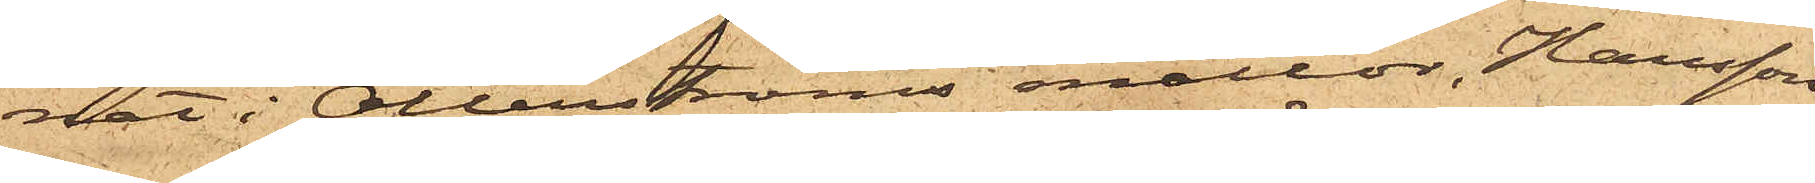nat i Otterströms mattor, Hansson
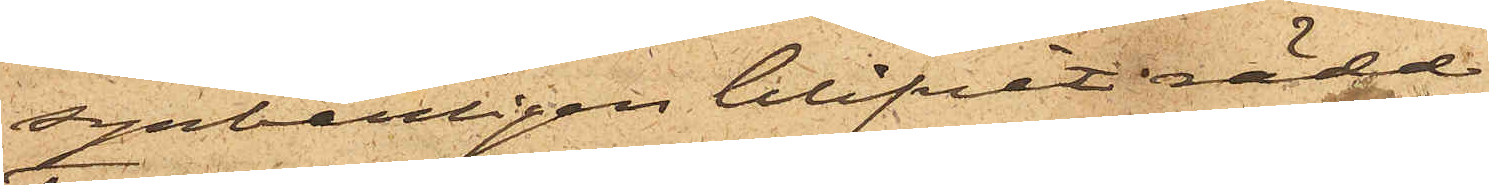synbarligen blifvit rädd.
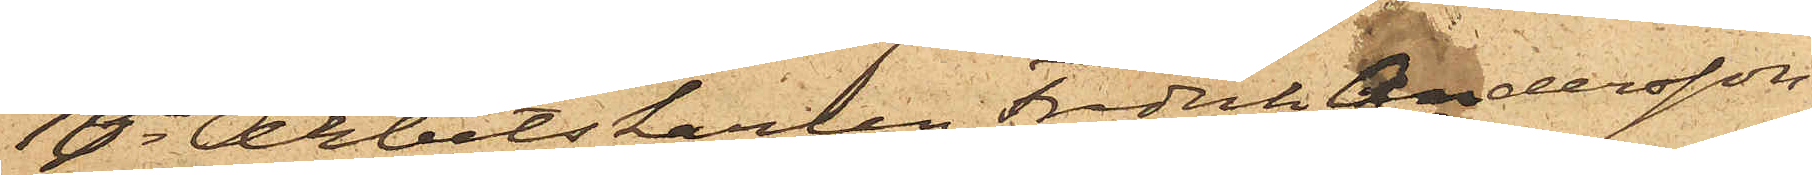10o Arbetskarlen Fredrik Andersson,
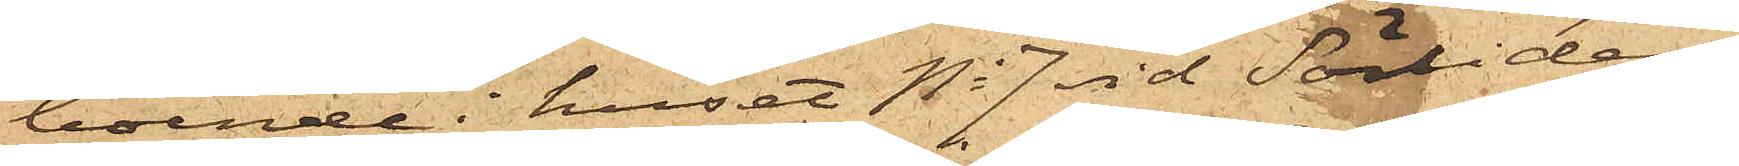boende i huset No 7 vid Sörliden,
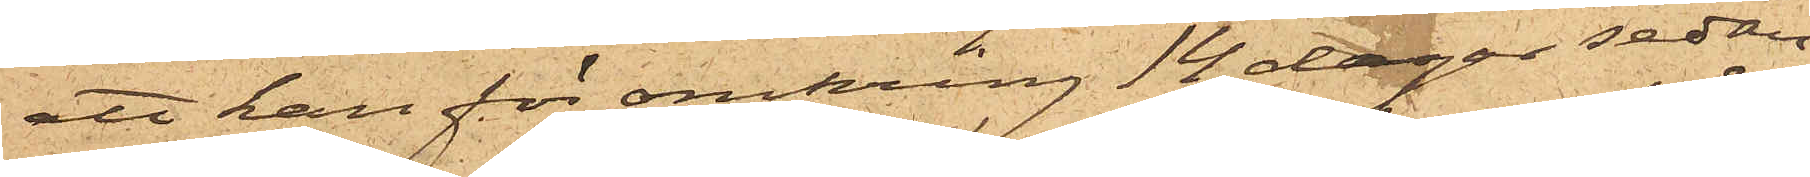att han för omkring 14 dagar sedan
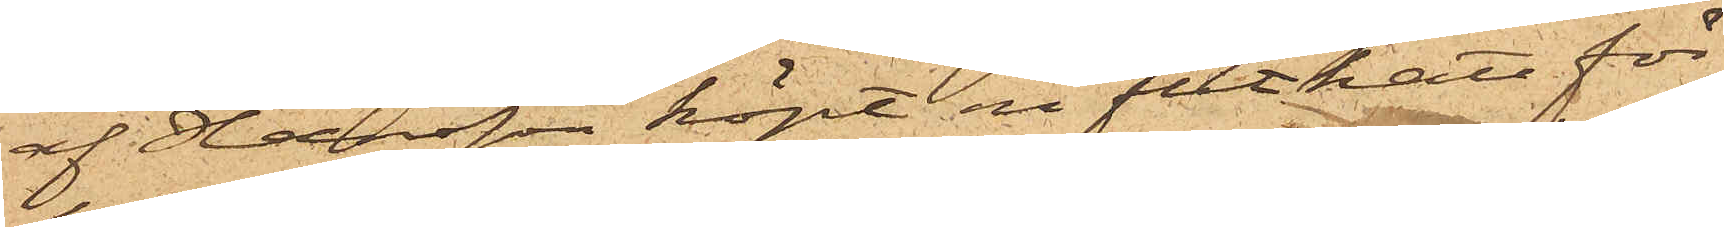af Hansson köpt en filthatt för
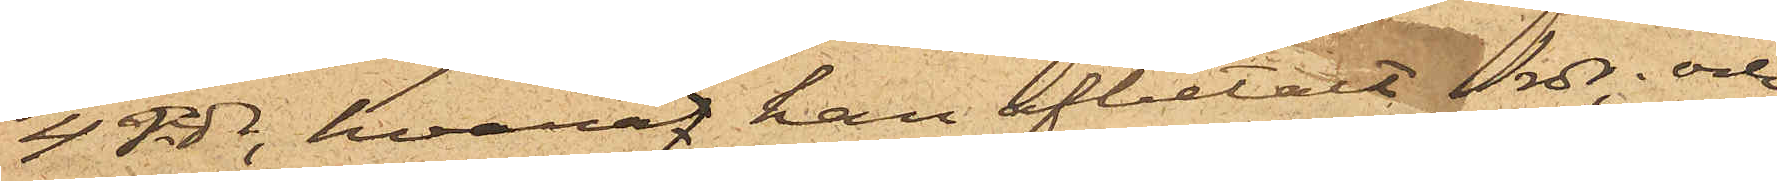4 rdr, hvaråf han afbetalt 2 rdr; och
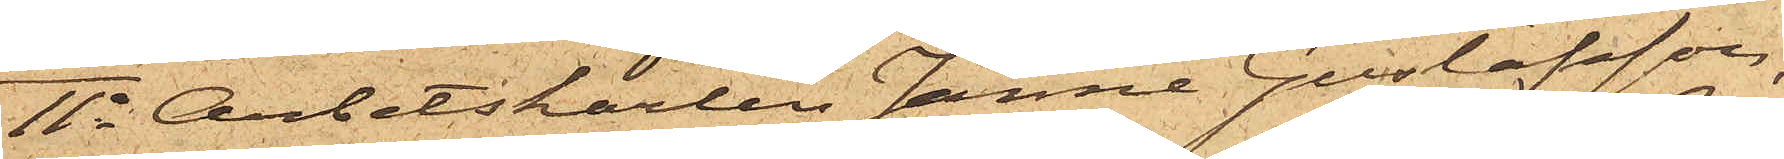11o Arbetskarlen Janne Gustafsson,
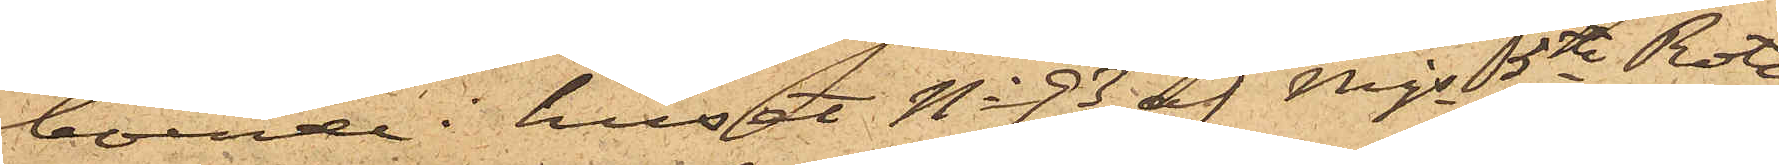boende i huset No 93 af Mjs 5te Rote,
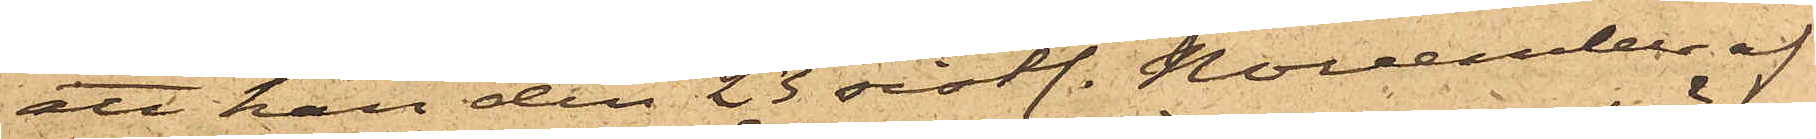att han den 23 sistl. November af
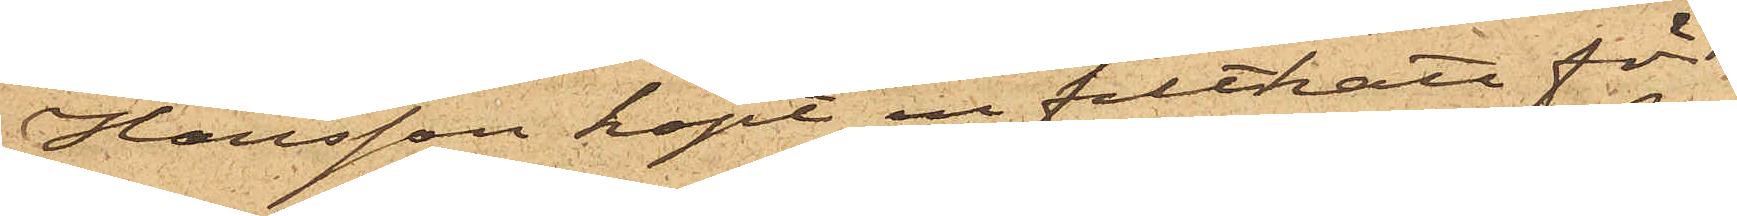Hansson köpt en filthatt för
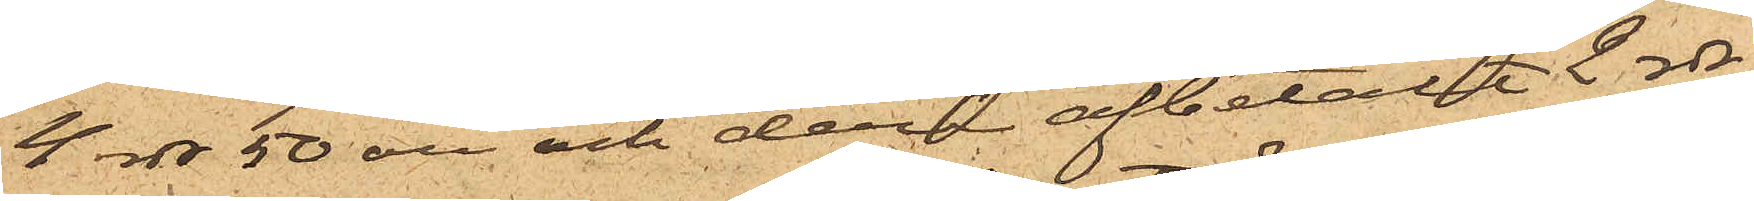4 rdr 50 öre och derå afbetalt 2 rdr.
